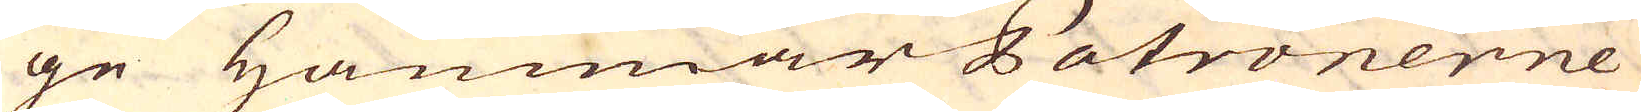ge Hammar Patronerne
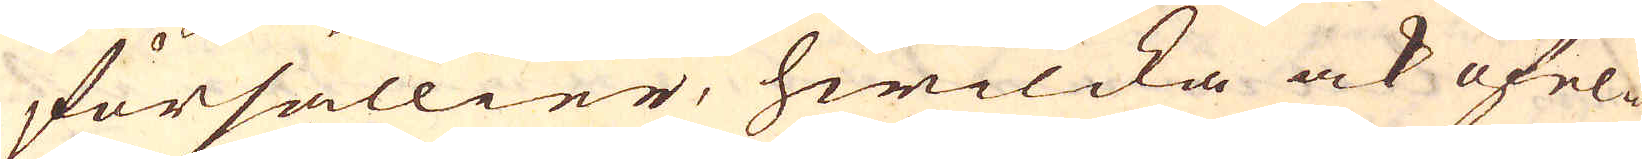försällier, hwilcka ock ofel-
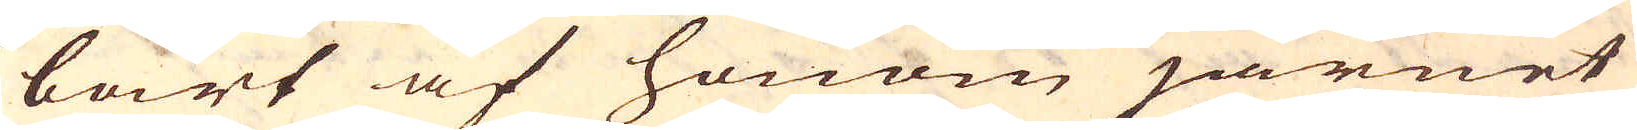bart af honom järnet
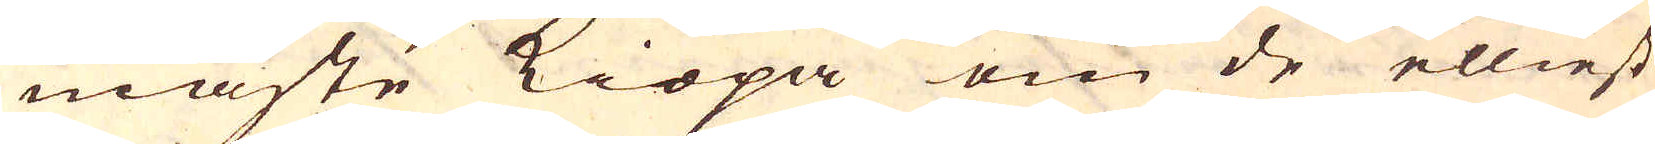måste kiöpa om de elliest
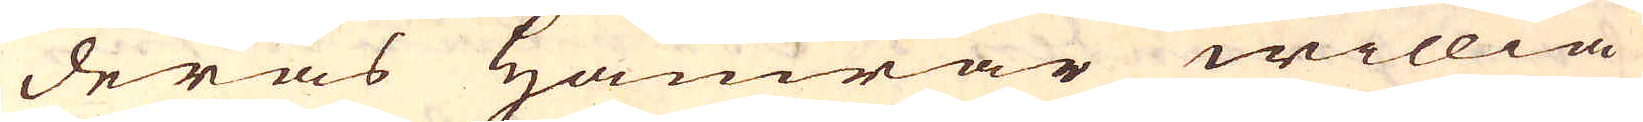deras Hamrar willia
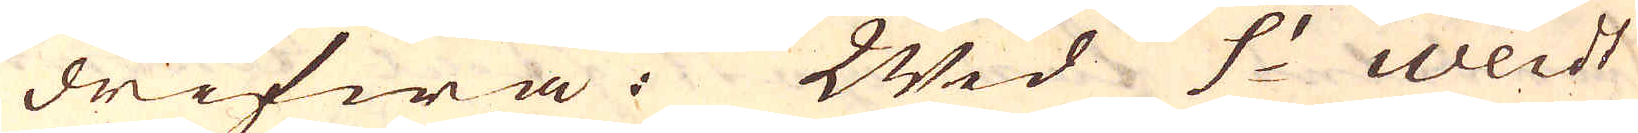drifwa. Wid S:t Weidt
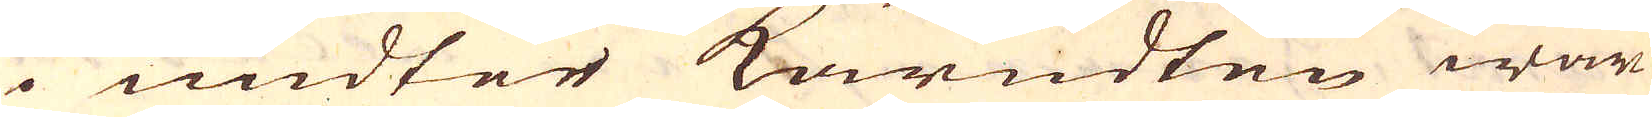i undter kärndten war
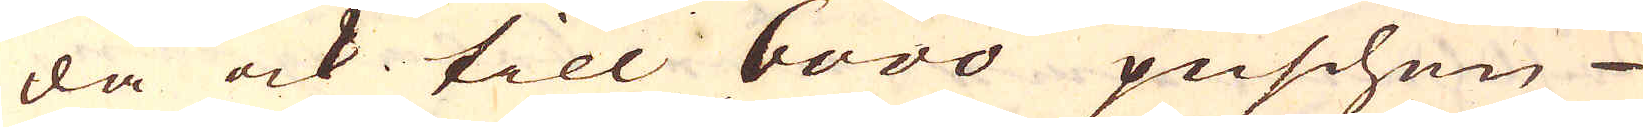da ock till 6000 puschen
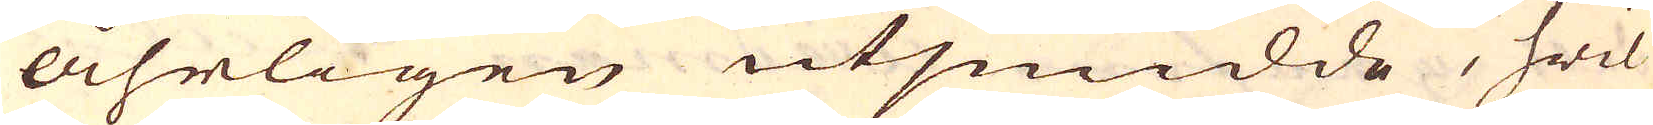åhrligen utsmidde, hwil-
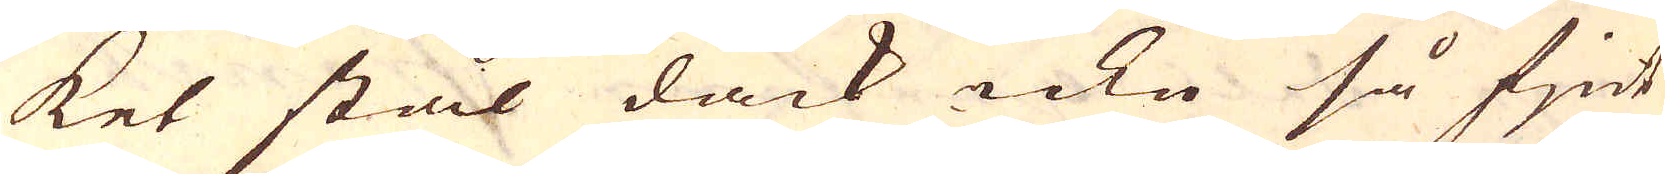ket stål dåck icke så fjnt
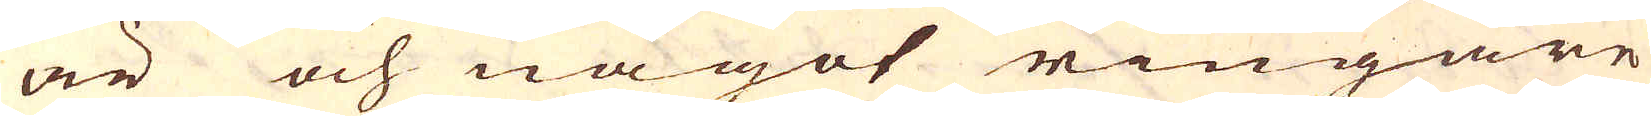är och något ringare
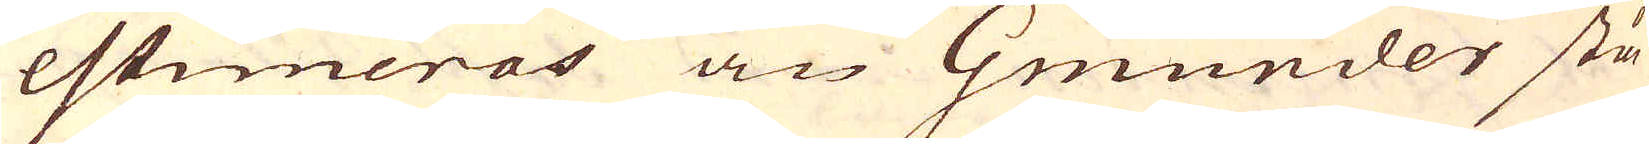estimeras än Gmünder stå-
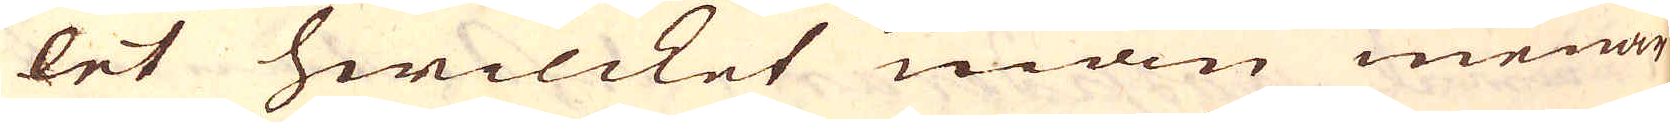let hwilcket man menar
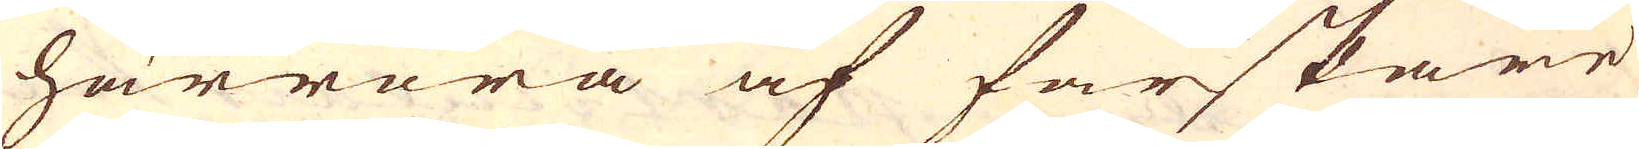härröra af färskare
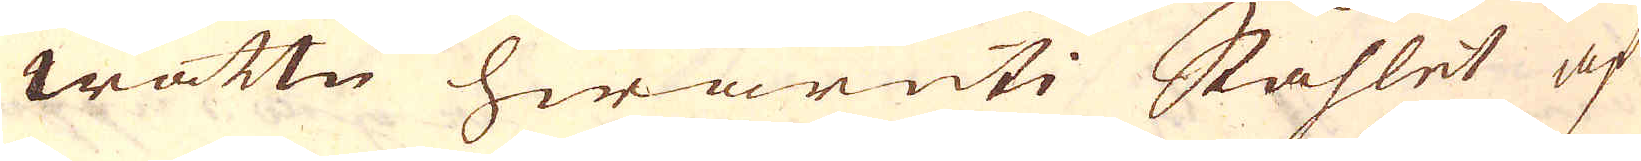wattn hwaruti Skåhlet af
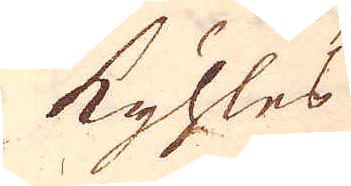kyhles
